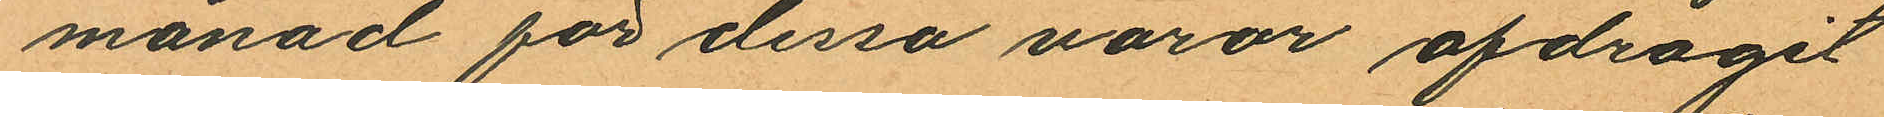månad för dessa varor afdragit
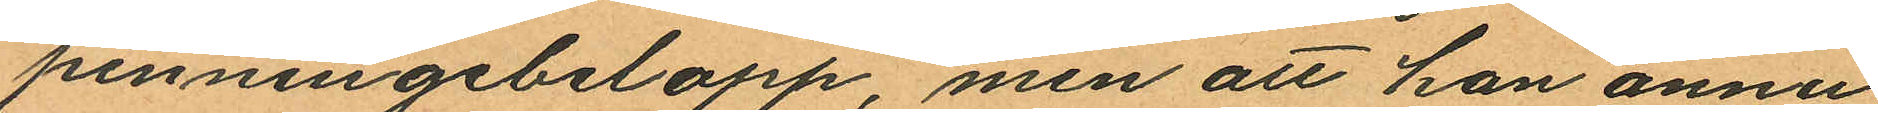penningebelopp, men att han ännu
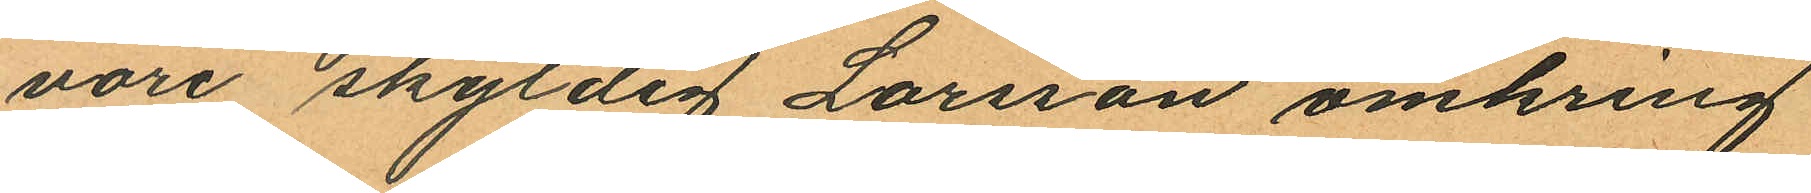vore skyldig Larsson omkring
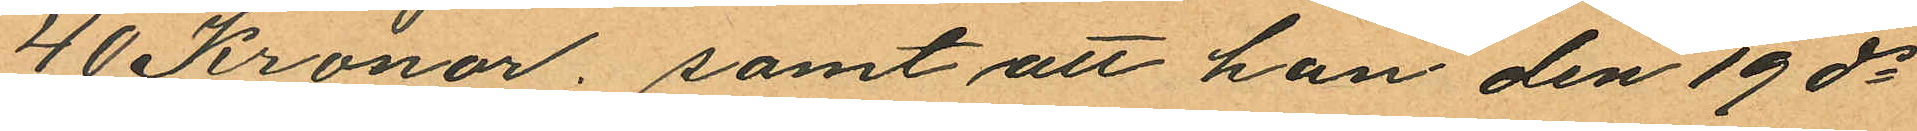40 Kronor; samt att han den 19 ds
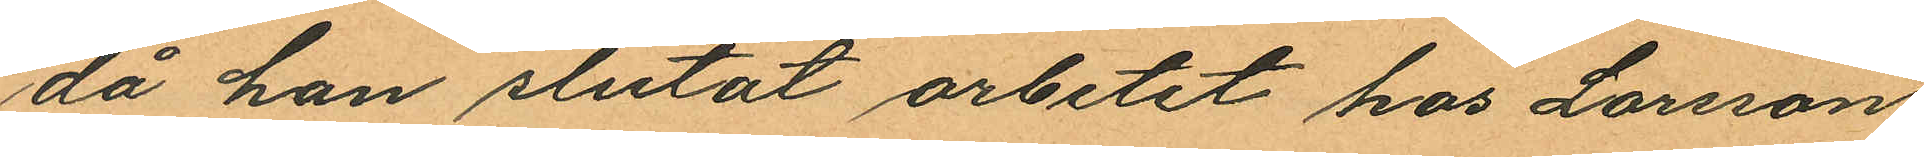då han slutat arbetet hos Larsson
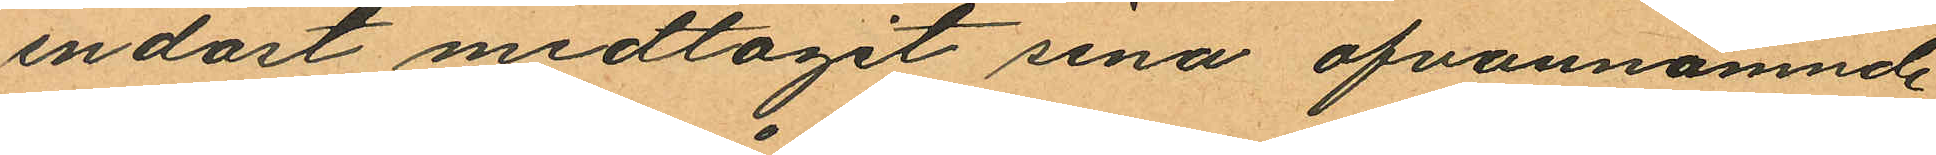endast medtagit sina ofvannämnde
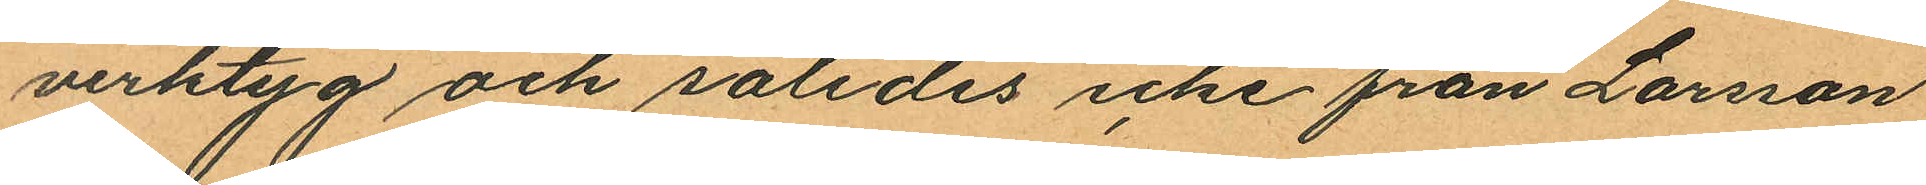verktyg och således icke från Larsson
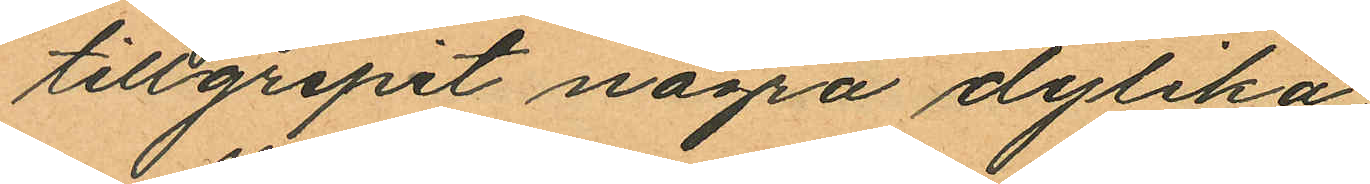tillgripit några dylika
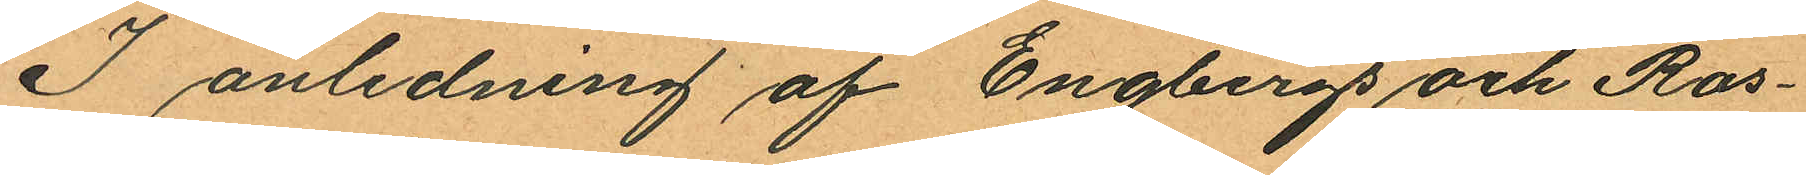I anledning af Engbergs och Ros¬
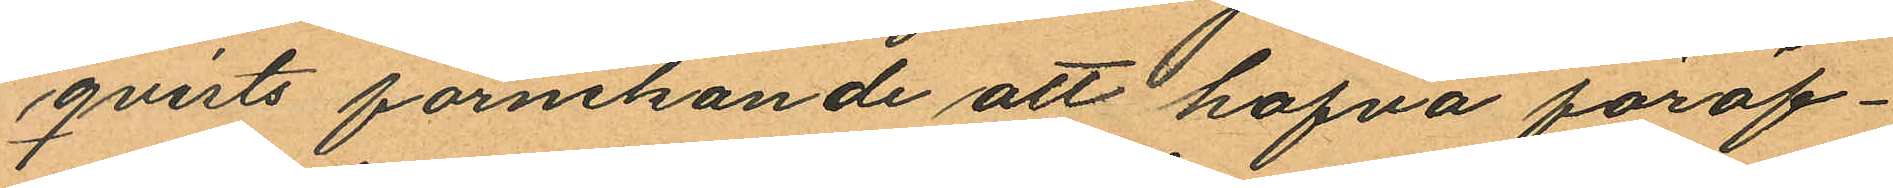qvists förnekande att hafva föröf¬
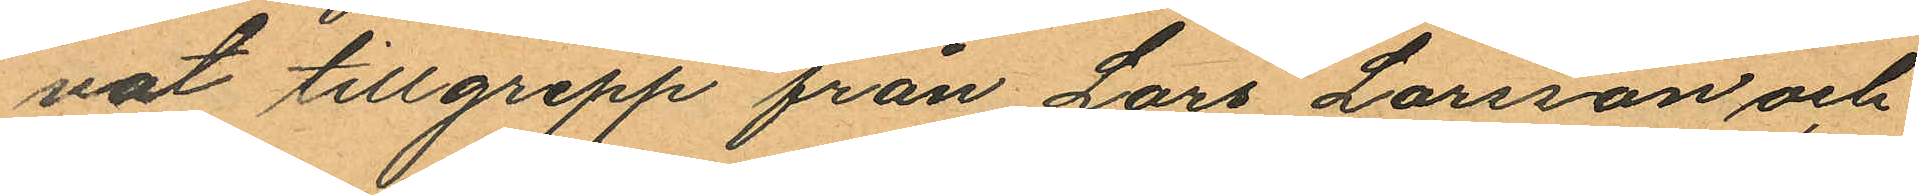vat tillgrepp från Lars Larsson och
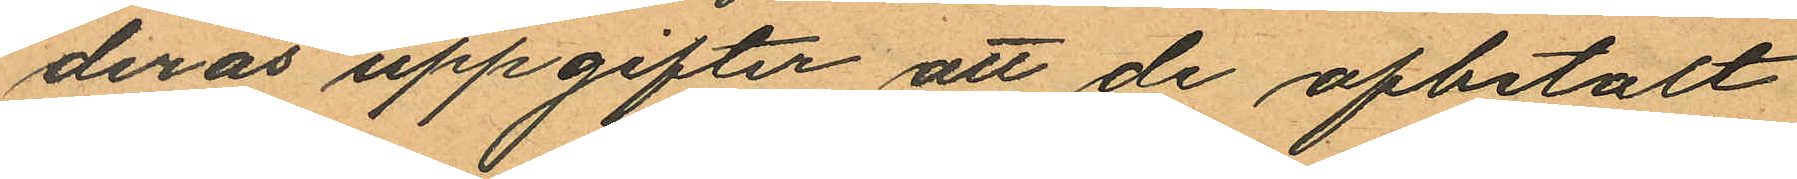deras uppgifter att de afbetalt
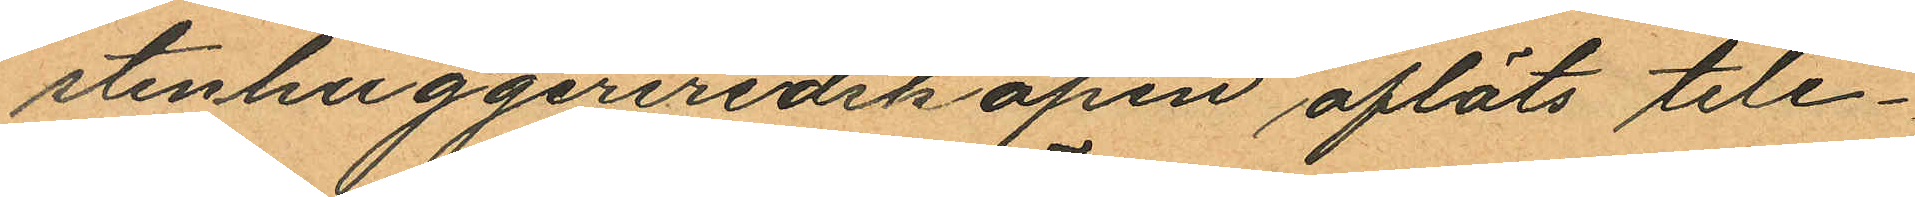stenhuggeriredskapen afläts tele¬
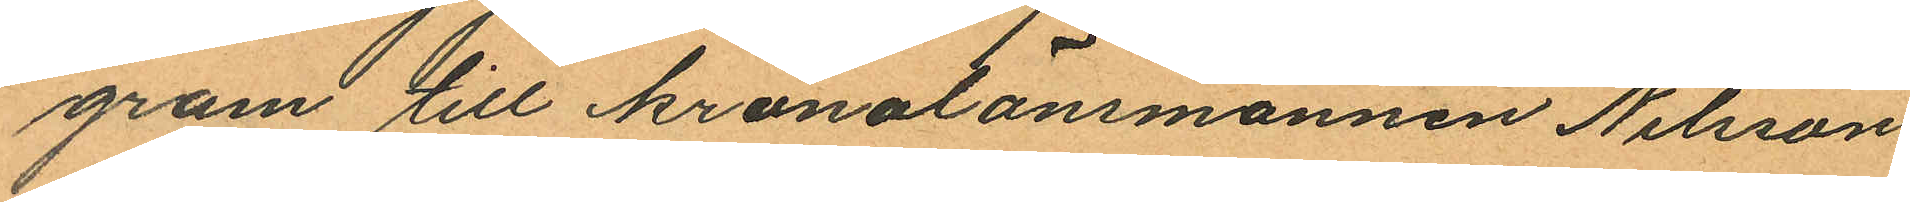gram till kronolänsmannen Nilsson
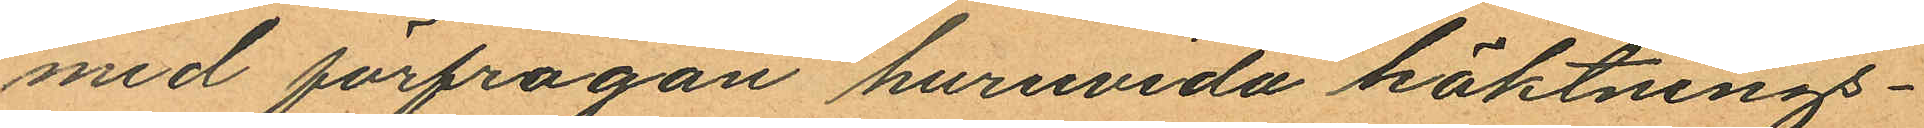med förfrågan huruvida häktnings¬
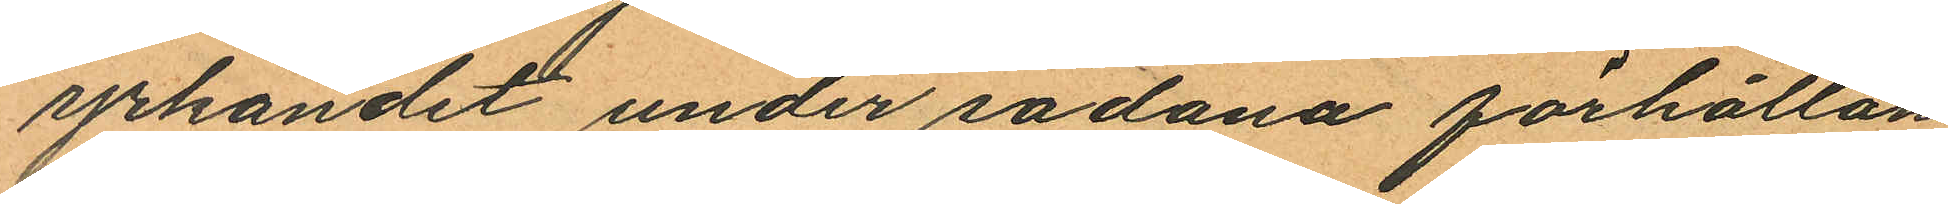yrkandet under sådana förhållan
